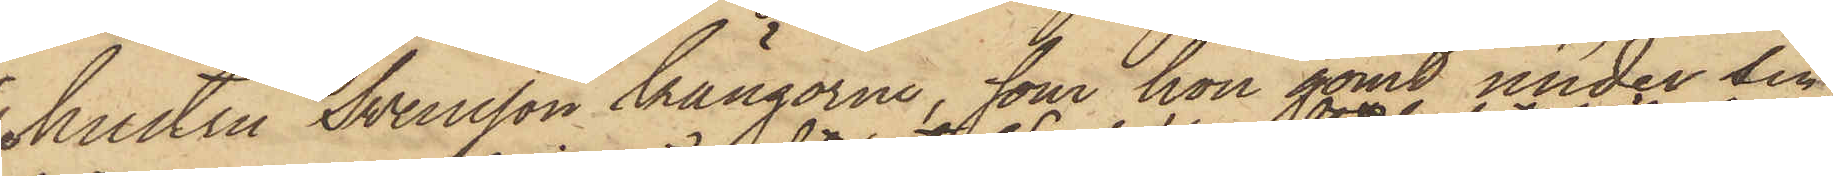hustru Svensson kängorne, som hon gömt under sin
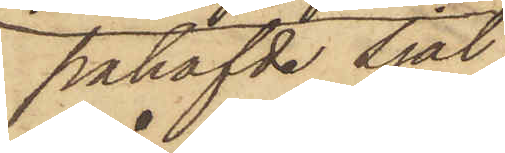påhafvde Sjal,
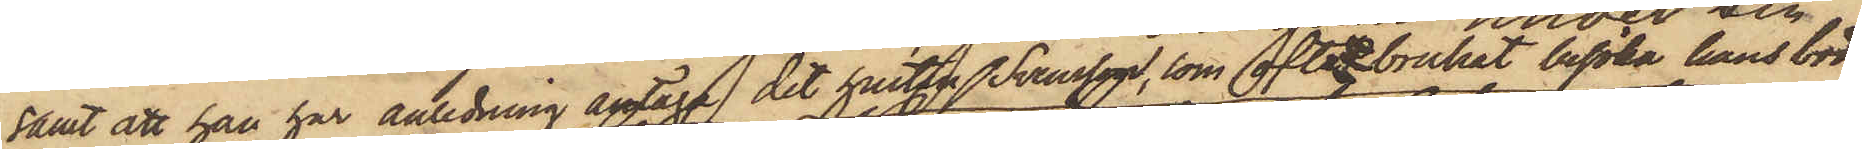samt att han har anledning antaga, det hustru Svensson, som ofta brukat besöka hans bod,
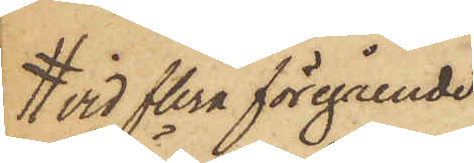vid flera föregående
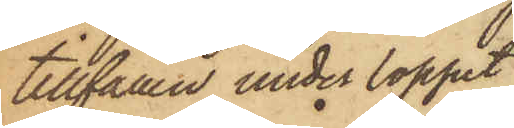tillfällen under loppet
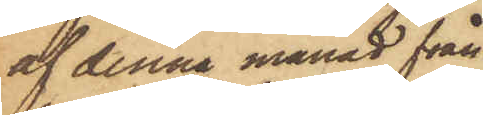af denna månad från
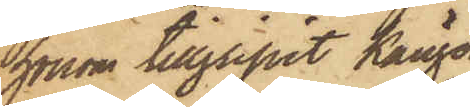honom tillgripit Kängor
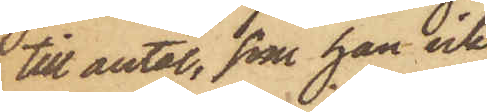till antal, som han icke
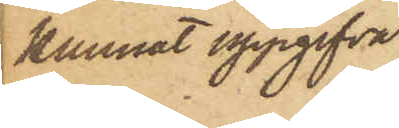kunnat uppgifva
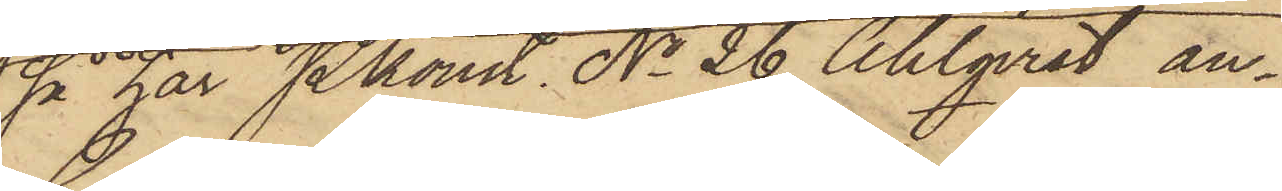så har Pkonst No 26 Ahlqvist an¬
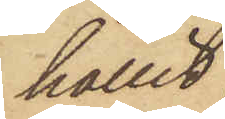hållit
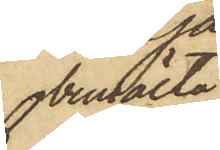bemälta
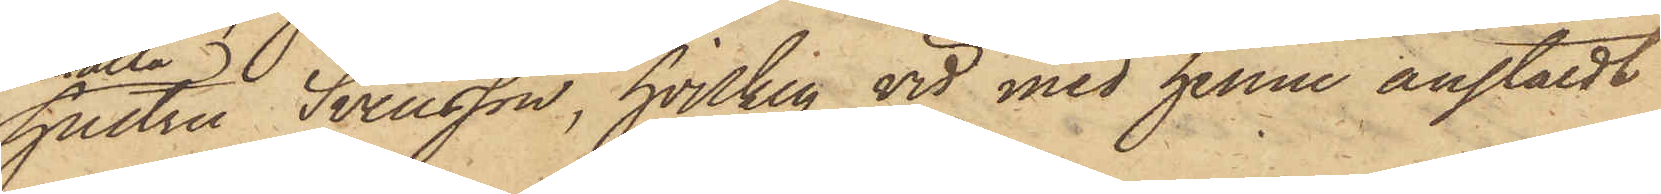hustru Svensson, hvilken vid med henne anstäldt
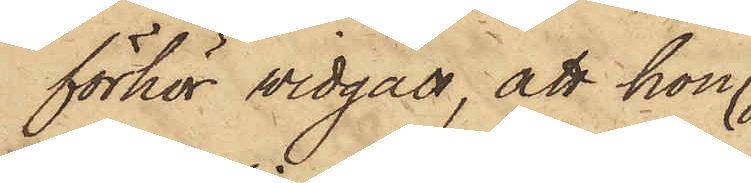förhör vidgått, att hon
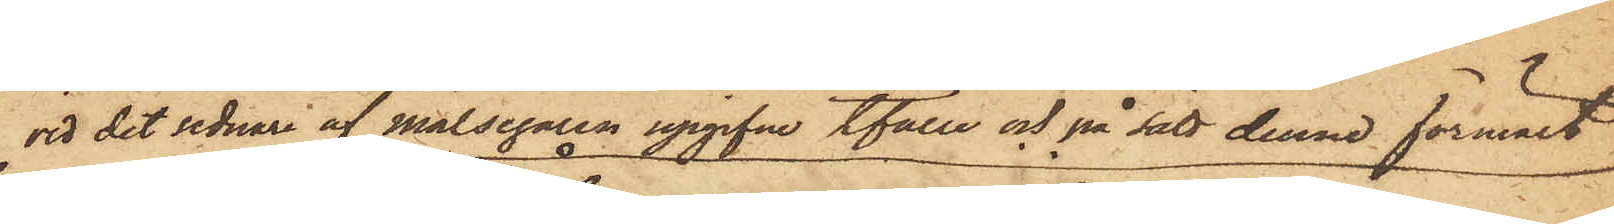vid det sednare af målsegaren upgifne tfälle och på sätt denne förmält
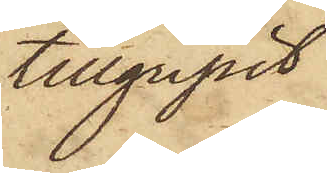tillgripit
